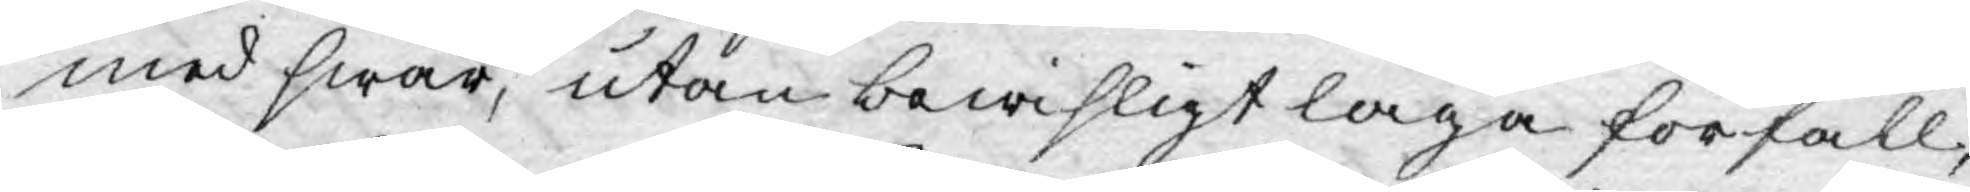med swar, utan bewisligt laga förfall,
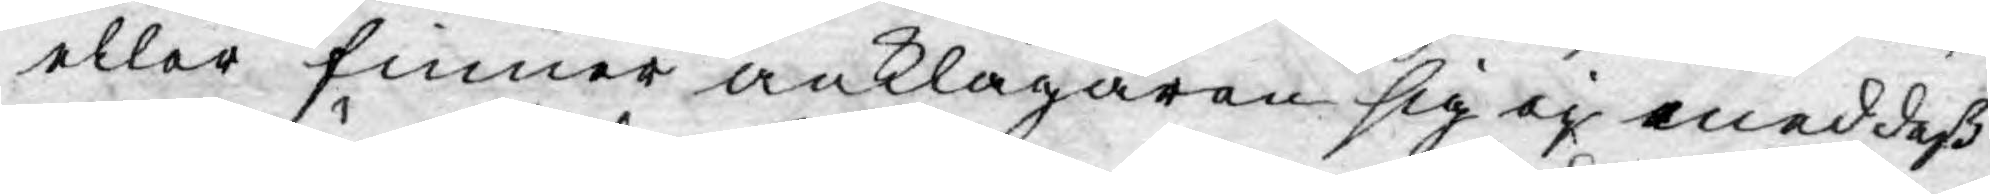eller finner anklagaren sig ej med deß
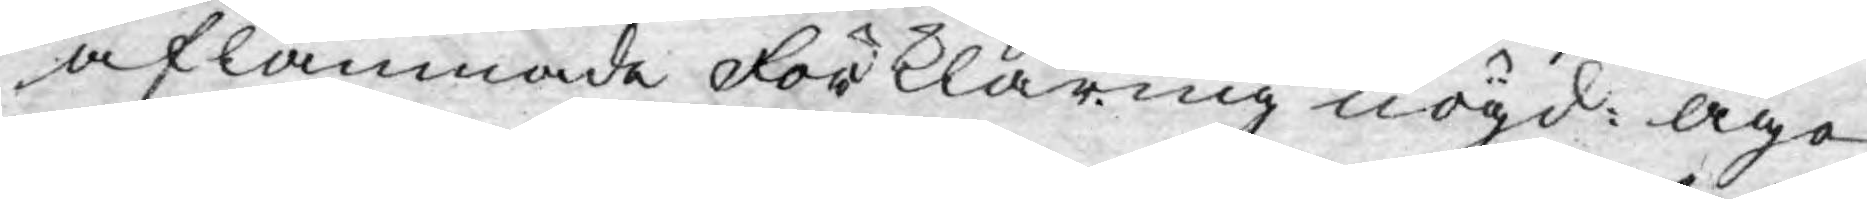aflämnade Förklaring nögd: äge
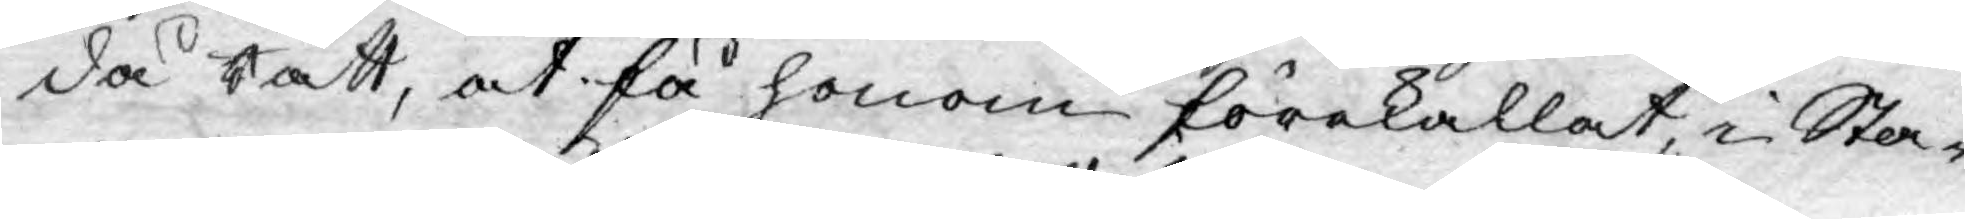då Rätt, at få honom förekallat, i Sta¬
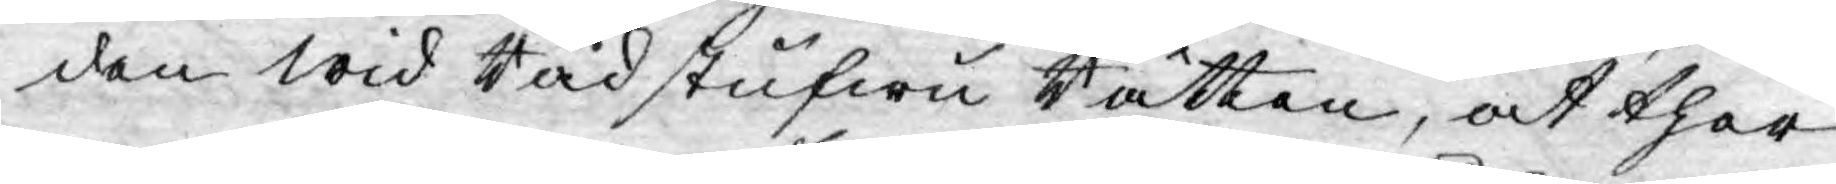den wid Rådstufwu Rätten, at ther
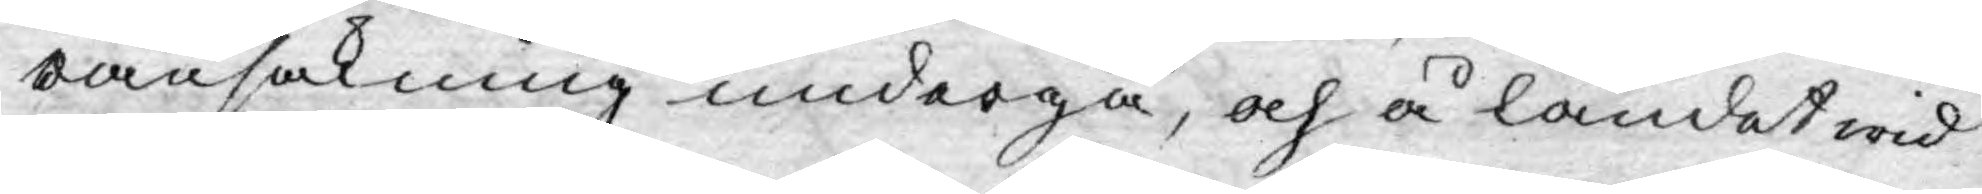ransakning undergå, och å landet wid
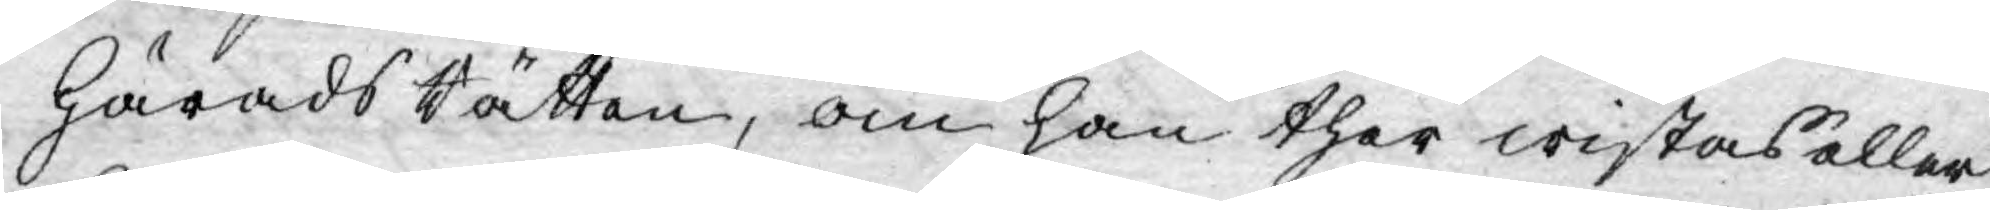HäradsRätten, om han ther wistas eller
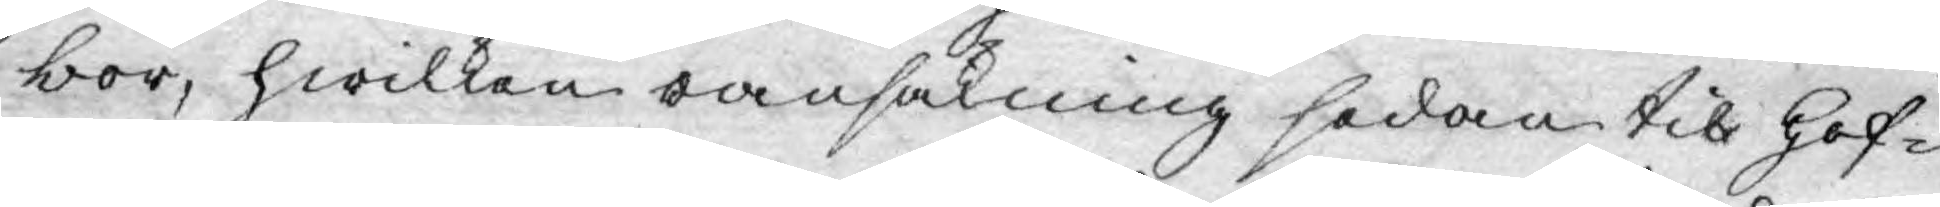bor, hwilken ransakning sedan til Hof¬
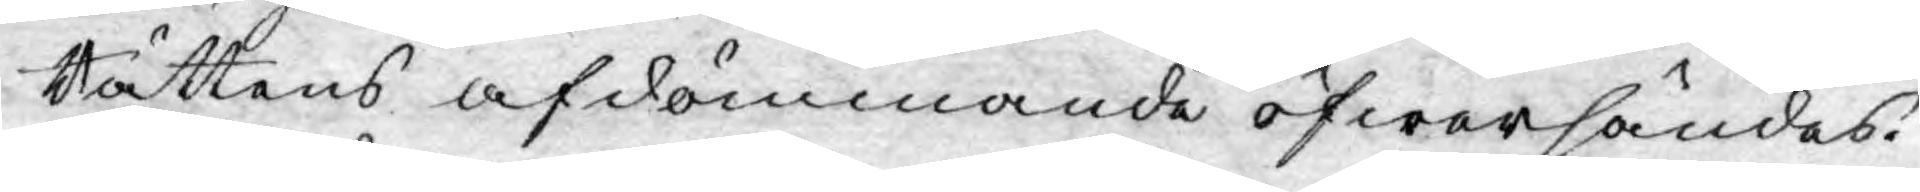Rättens afdömmande öfwersändes.
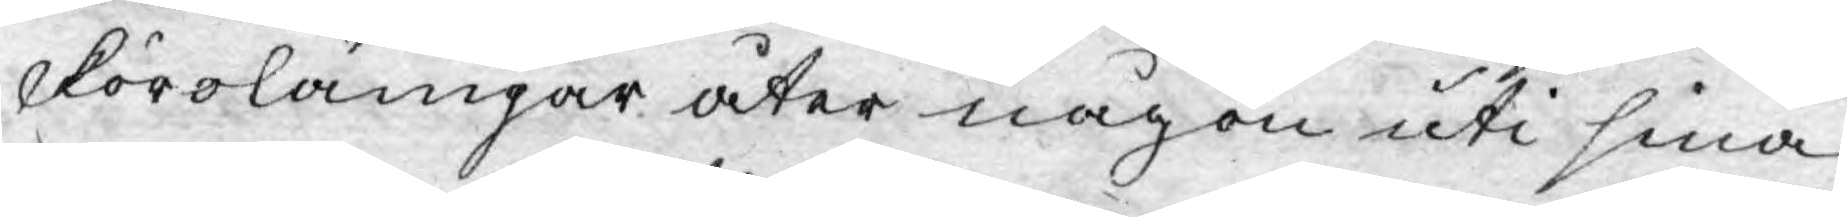Förolämpar åter någon uti sina
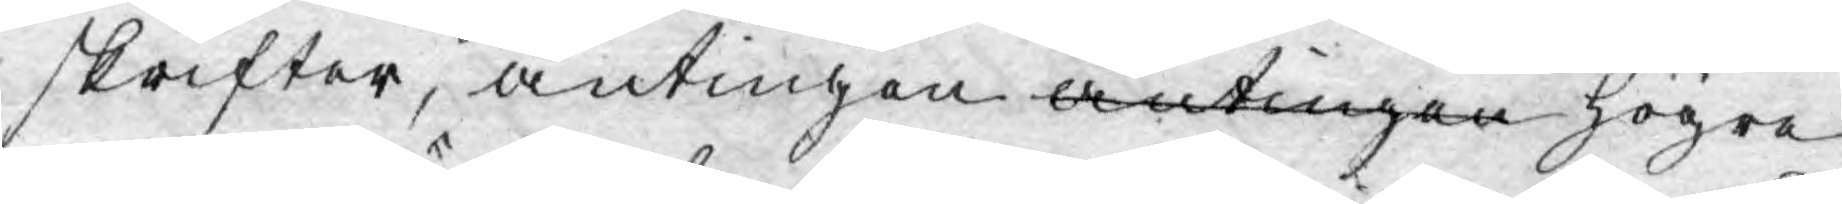skrifter, antingen antingen högre
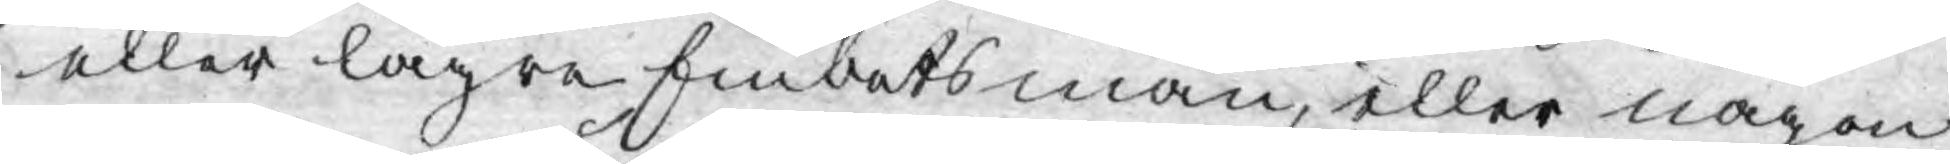eller lägre Embetsmän, eller någon
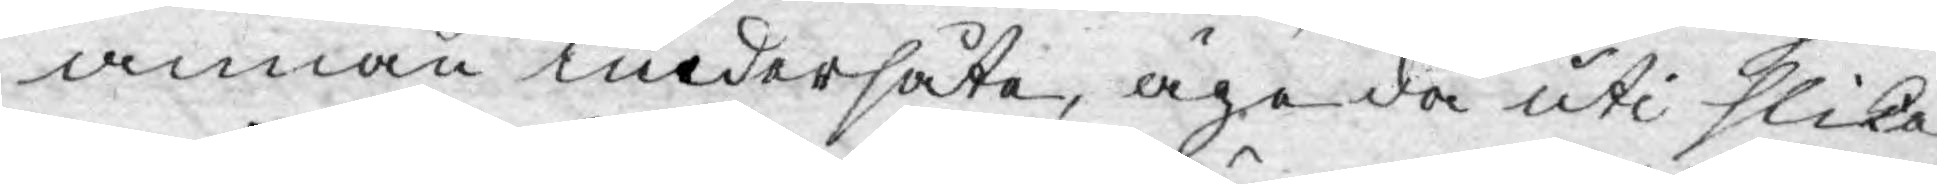annan undersåte, äge då uti slika
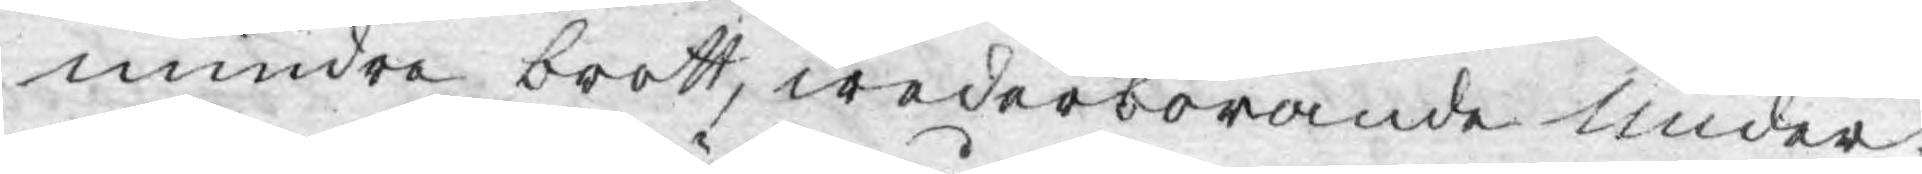mindre brott, wederbörande under-
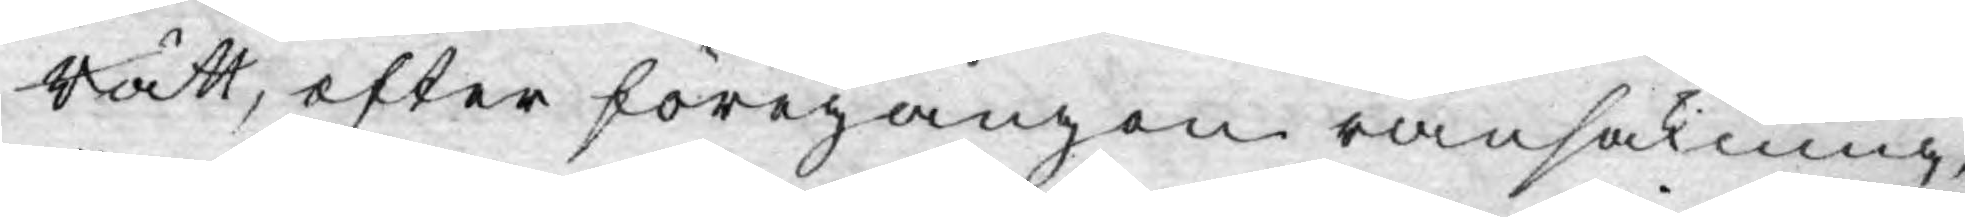Rätt, efter föregången ransakning,
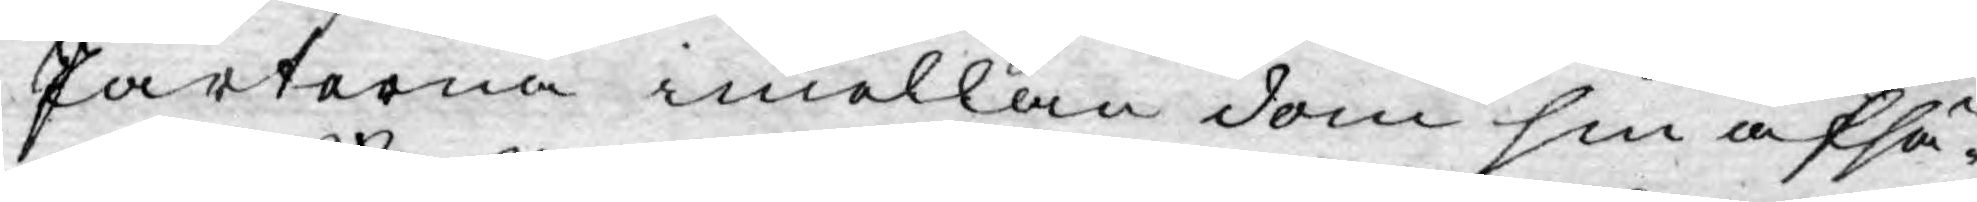Parterna imellan dom sin afsä¬
